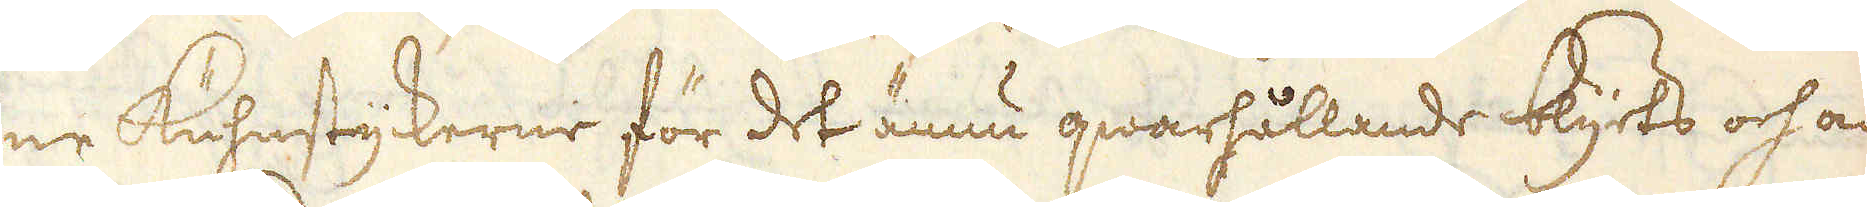ne Kuhnstyckerne för det ännu qwarhållande blyts och an-
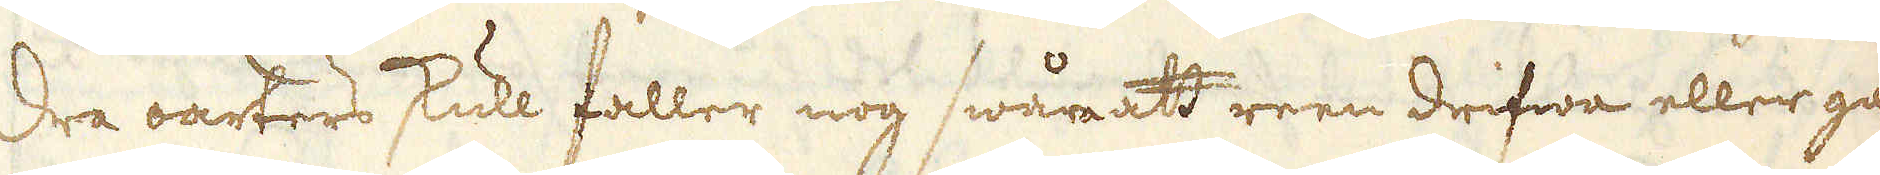dra oarters skull faller nog swåra att reen drifwa eller gå-
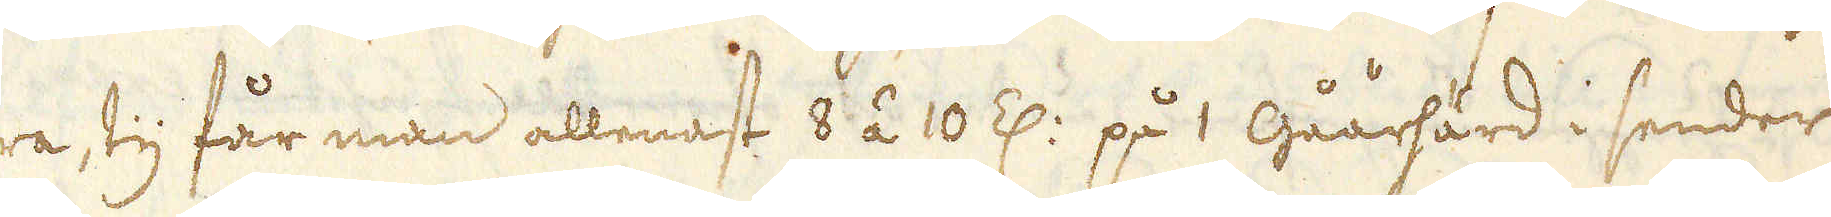ra ty får man allenast 8 á 10 Z: på 1 Gåårhärd i sender
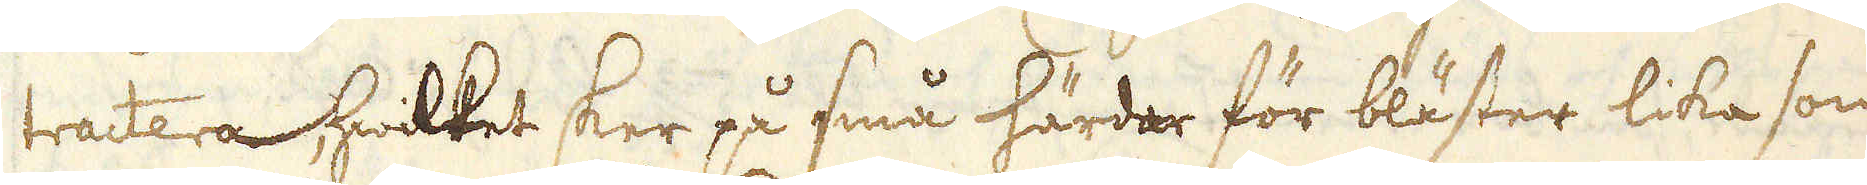tractera, hwilket sker på små härdar för bläster lika som
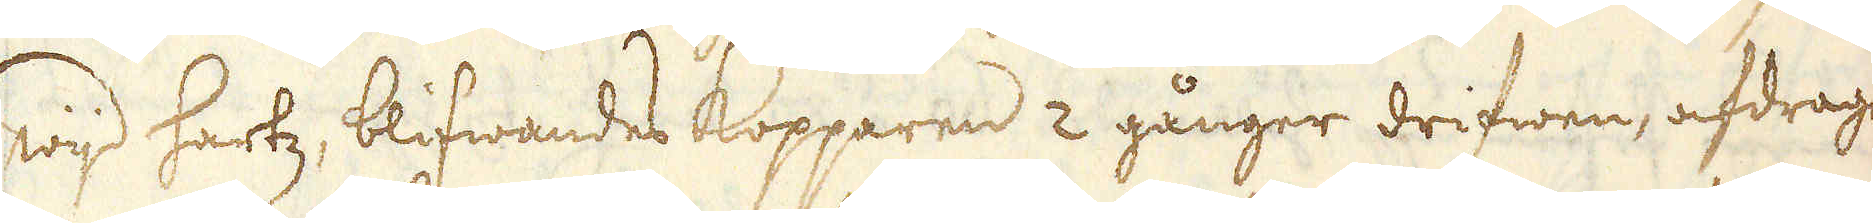wijd hartz, blifwandes kopparen 2 gånger drifwen, afdragen
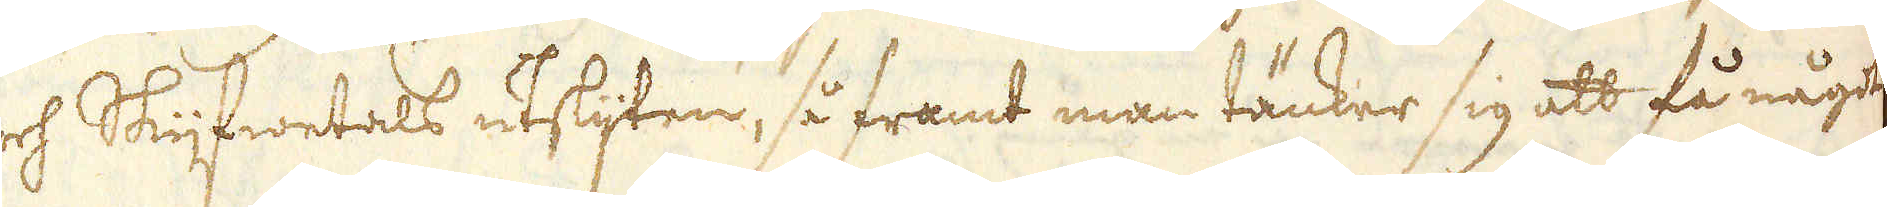och Skijfwetals utslijten, så framt man tänker sig att få något
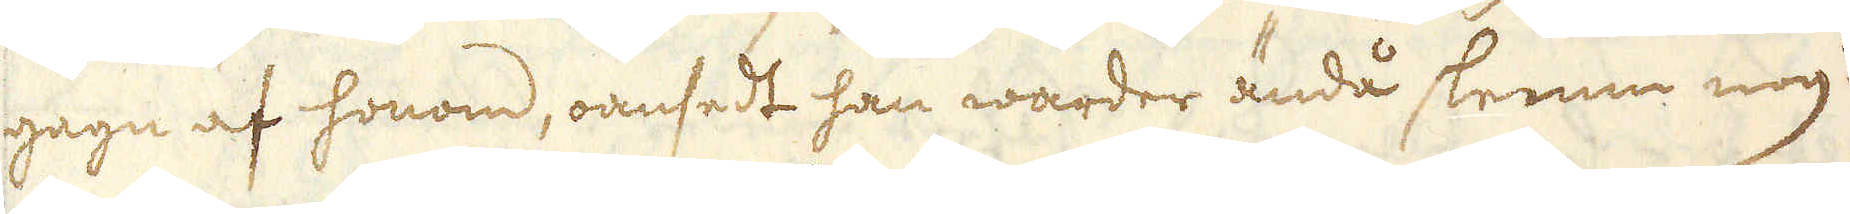gagn af honom, oansedt han warder ändå slenne nog att
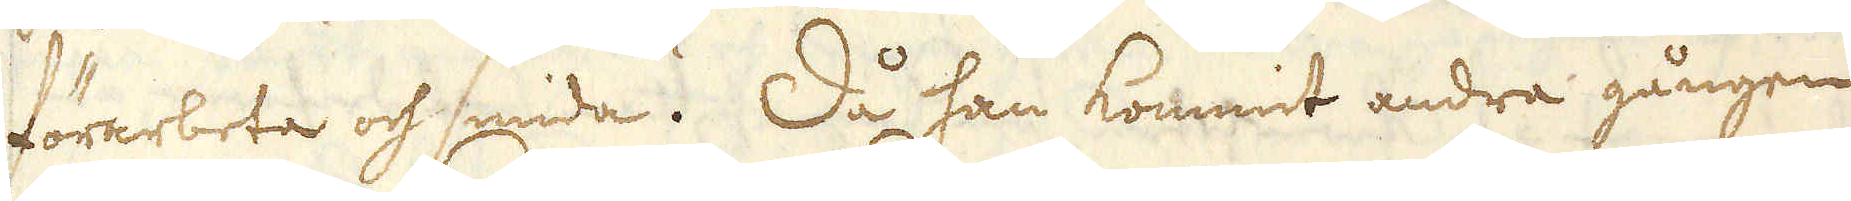förarbeta och smida. Då han kommit andra gången
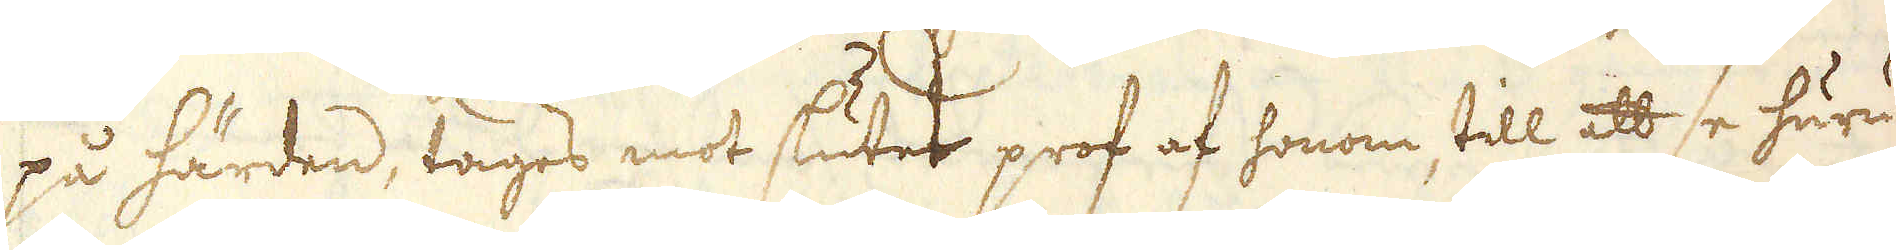på härden, tages mot slutet prof af honom till att se huru
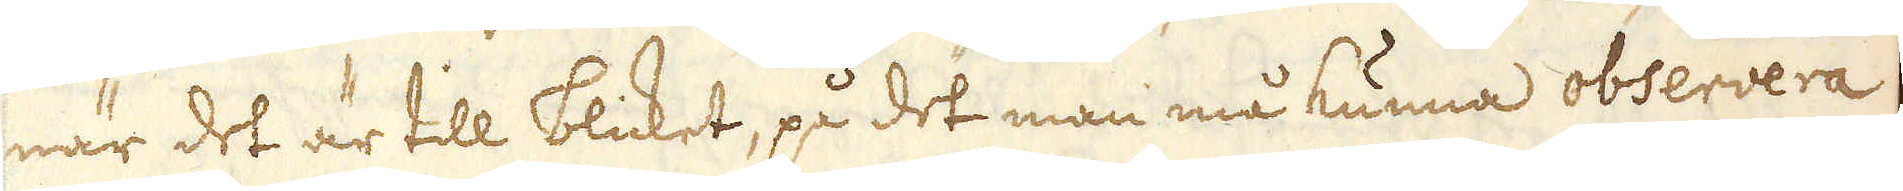när det är till blicket, på det man må kunna observera
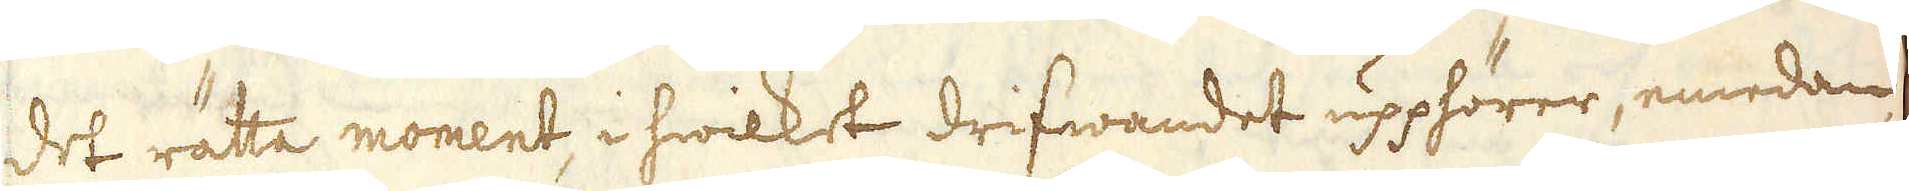det rätta moment, i hwilket drifwandet upphörer, emedan,
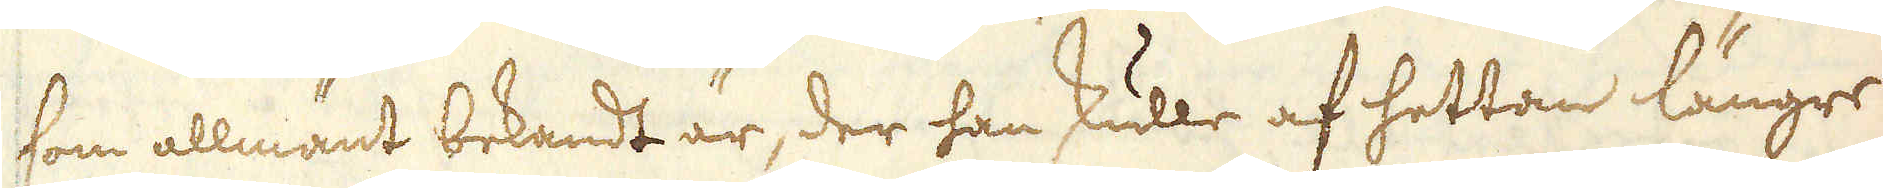som allmänt bekandt är, der han skulle af hettan längre
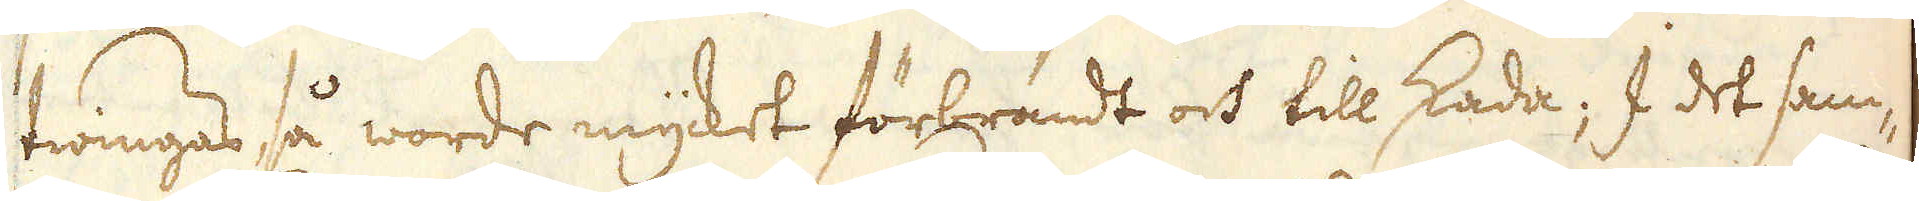twingas så worde mycket förbrändt och till skada; I det sam-
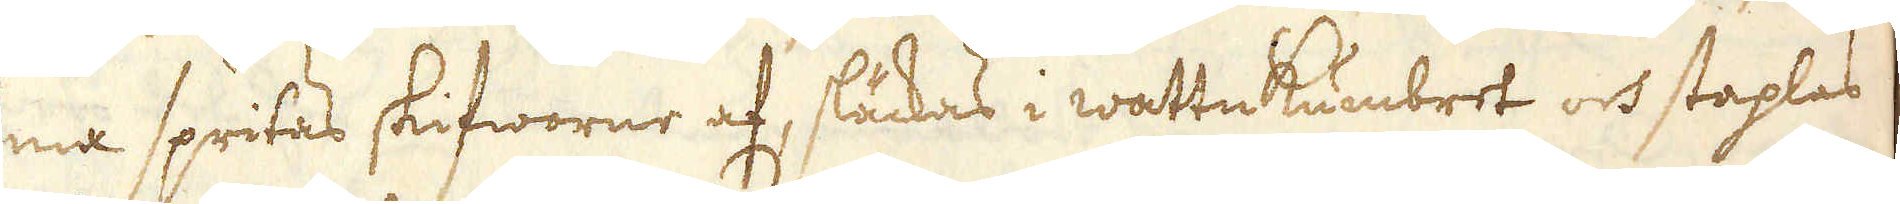ma spritas skifworne af, släckas i wattnkumbret och staplas
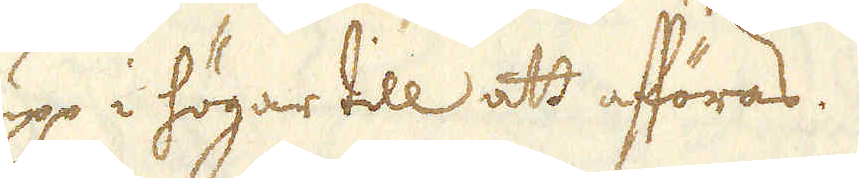upp i högar till att afföras.
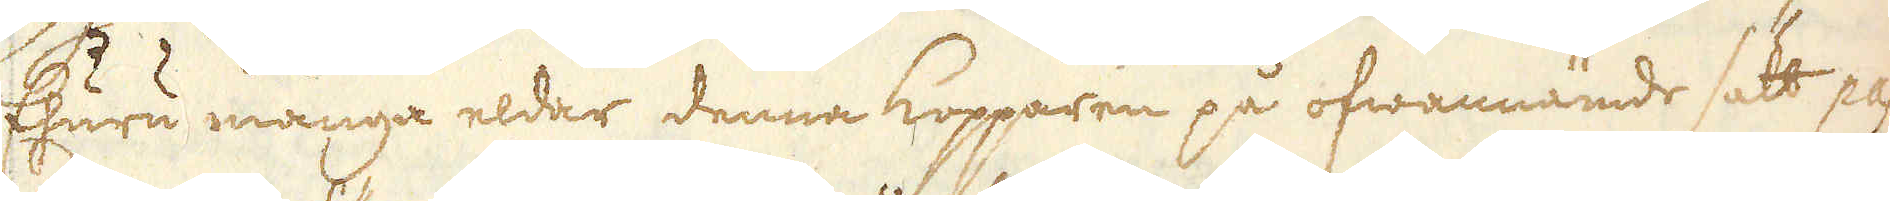Ehuru många eldar denna Kopparen på ofwannämde sätt pas-
